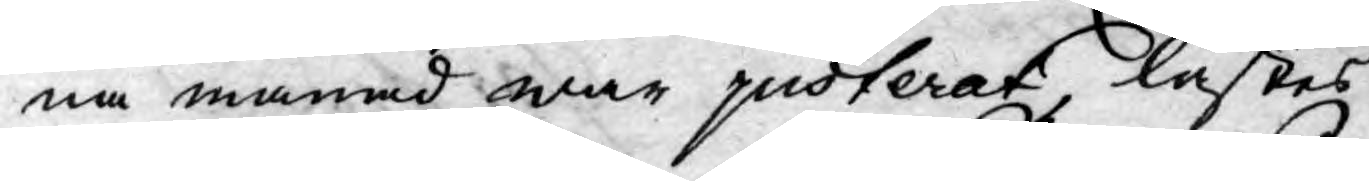na månad war justerat, lästes
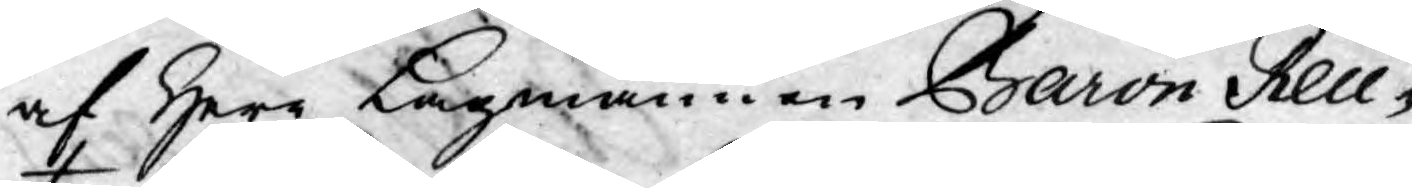af Herr Lagmannen Baron Reue¬
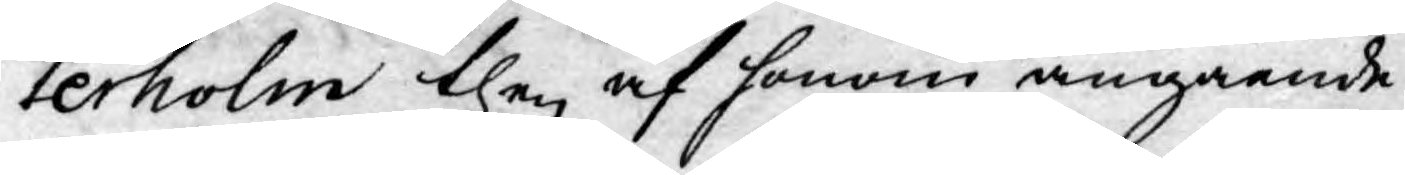terholm then af honom angående
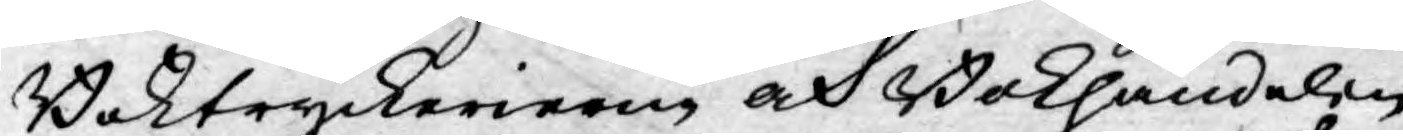Boktryckerierne och Bokhandelen
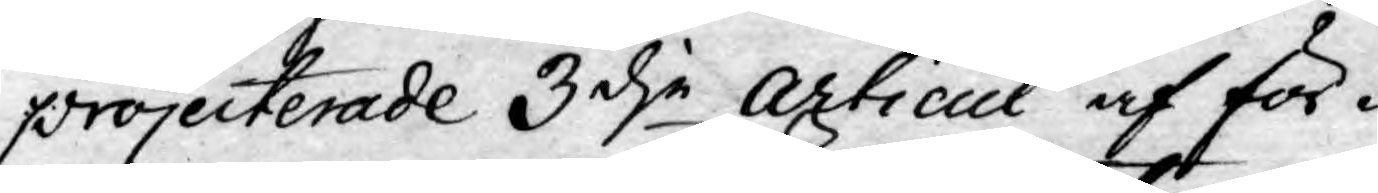projecterade 3dje Articul af för¬
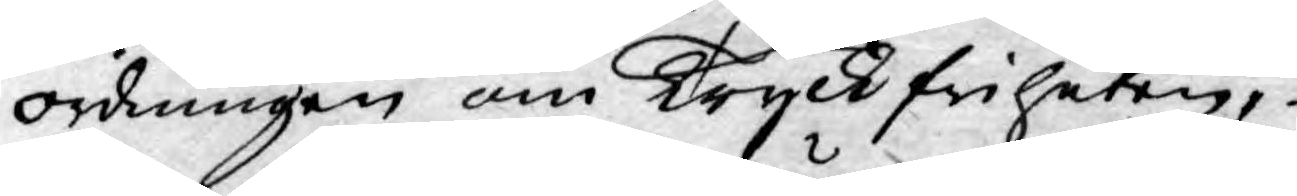ordningen om Tryckfriheten,
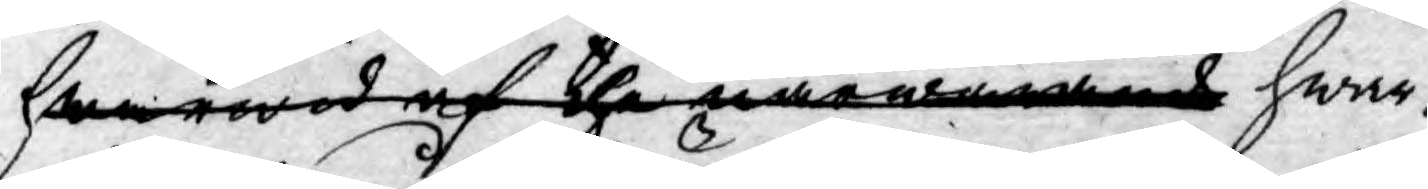hwarwid af the närwarande hwar¬
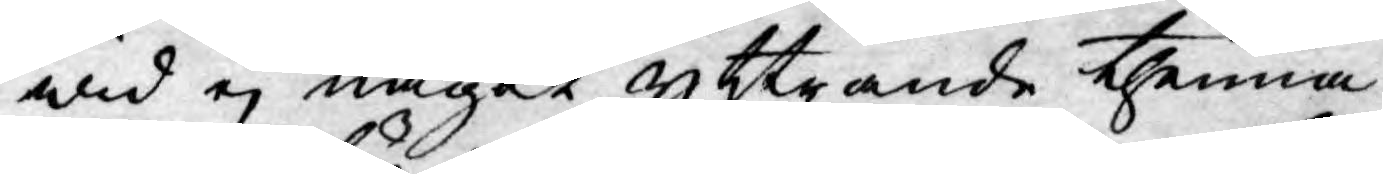wid ej något yttrande thenna
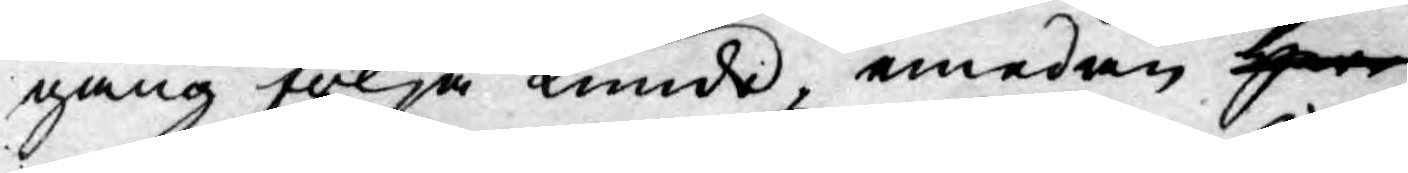gång följa kunde, emedan Herr
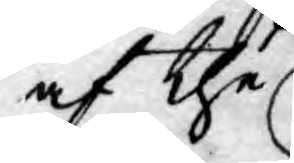af the
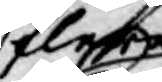fleste
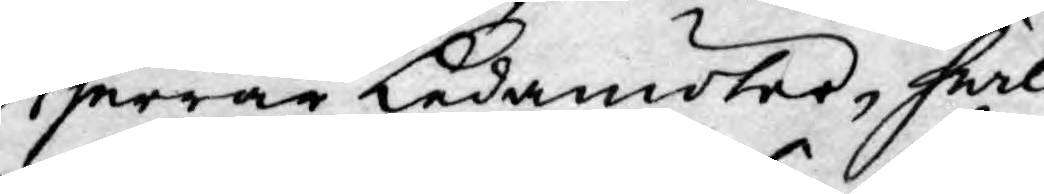Herrar Ledamöter, hwil¬
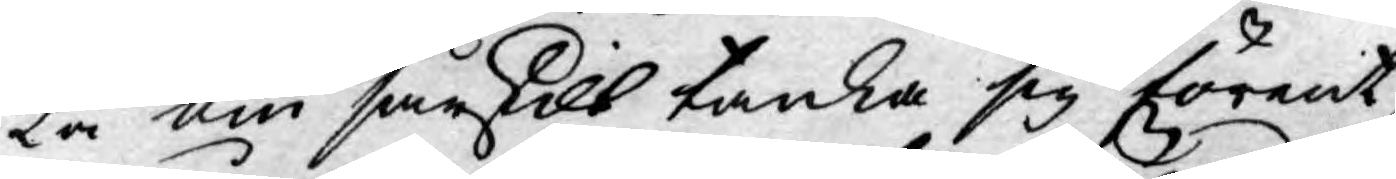ka om särskilt tanka sig förent,
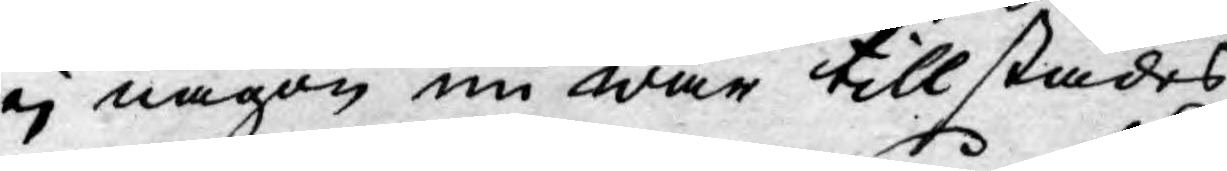ej någon nu war tillstädes.
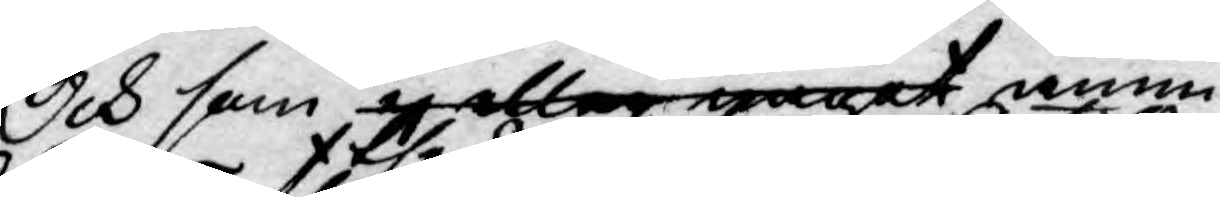Och som ej eller något ännu
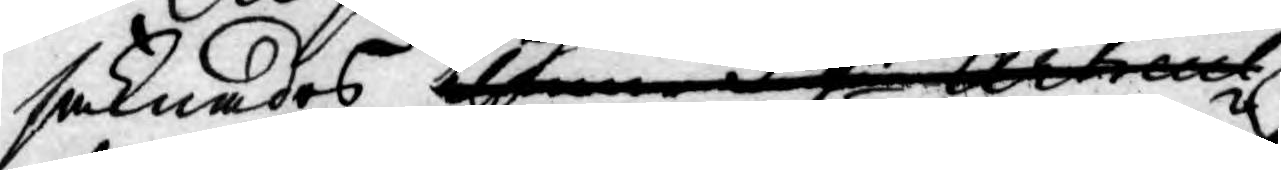saknades thenne 3 dje Articul
